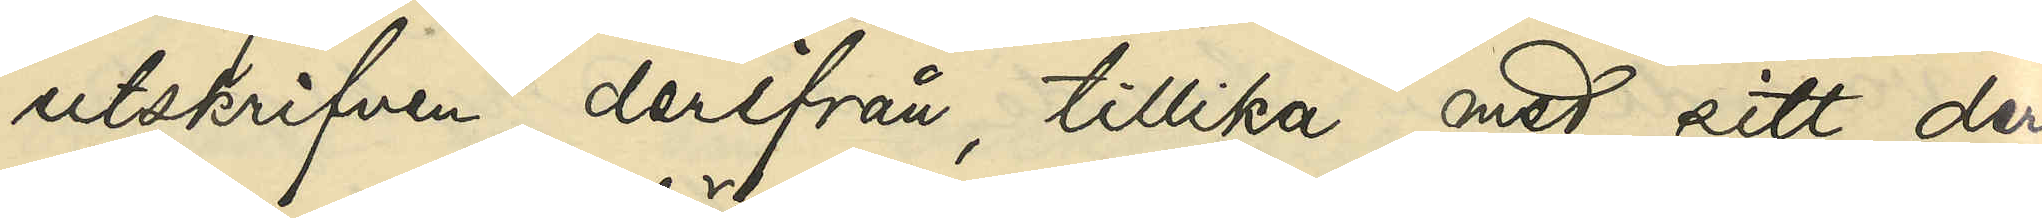utskrifven derifrån, tillika med sitt der¬
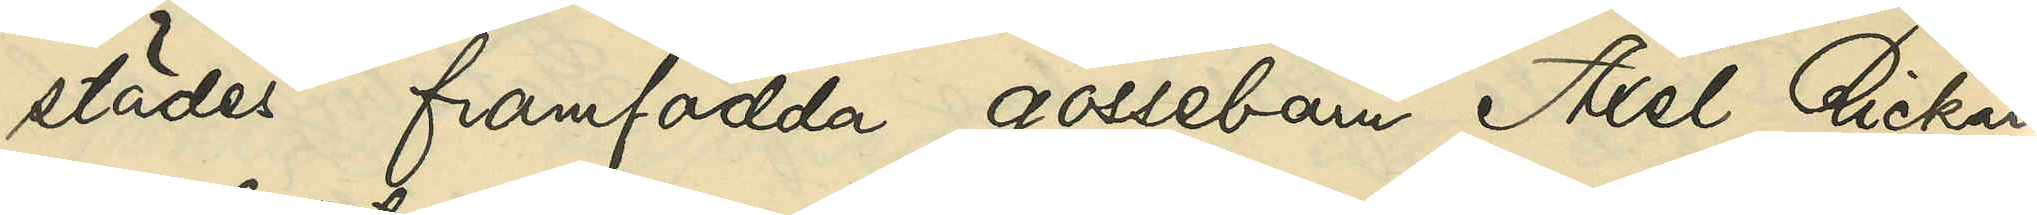städes framfödda gossebarn Axel Rickard
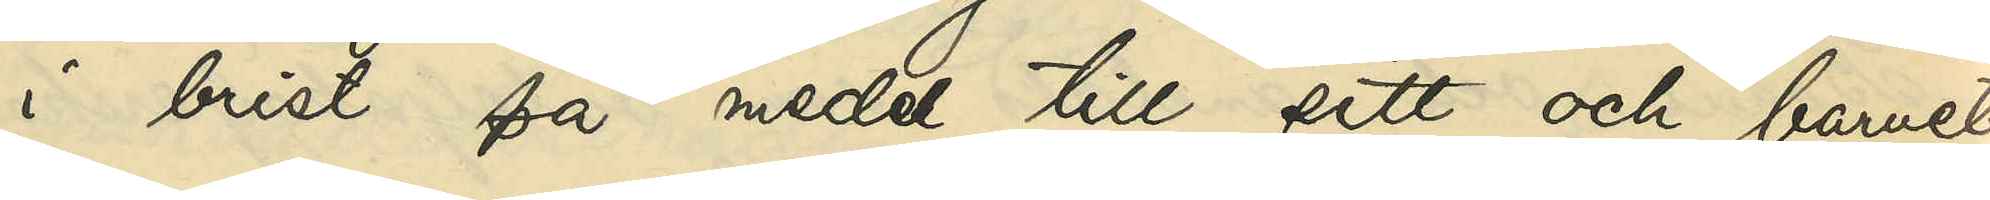i brist på medel till sitt och barnets
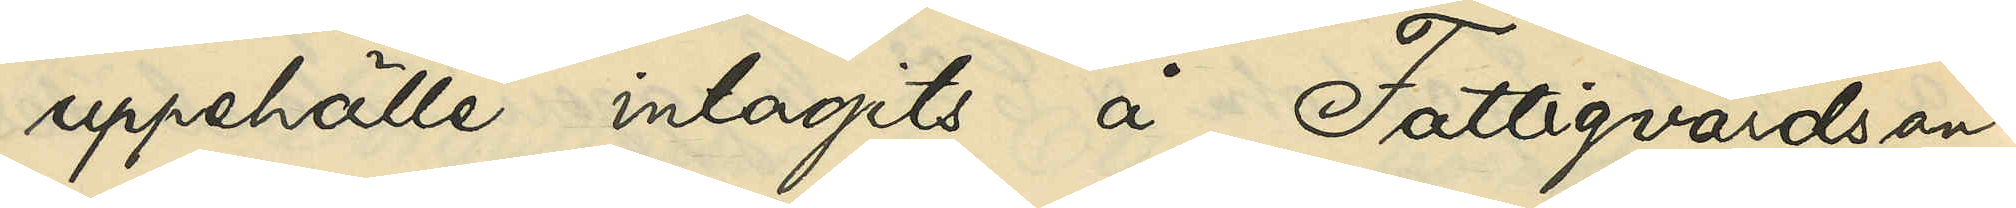uppehälle intagits å Fattigvårdsan¬
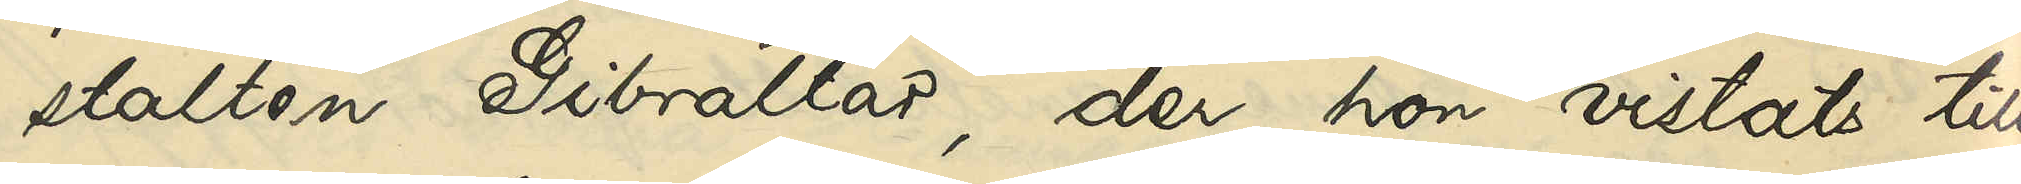stalten Gibraltar, der hon vistats till
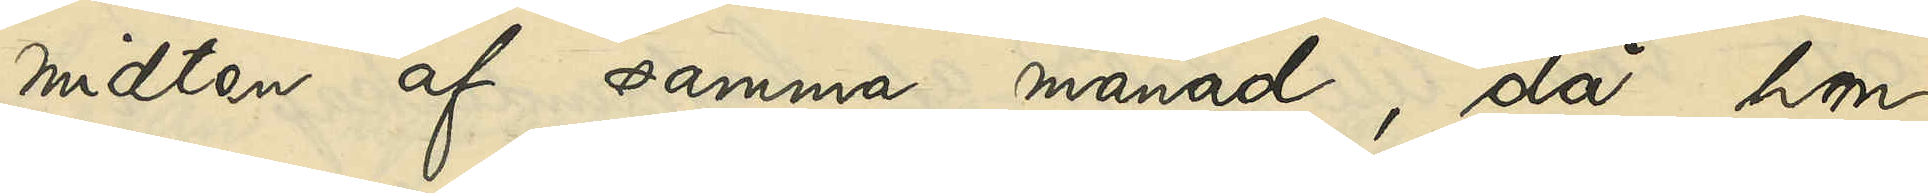midten af samma månad, då hon
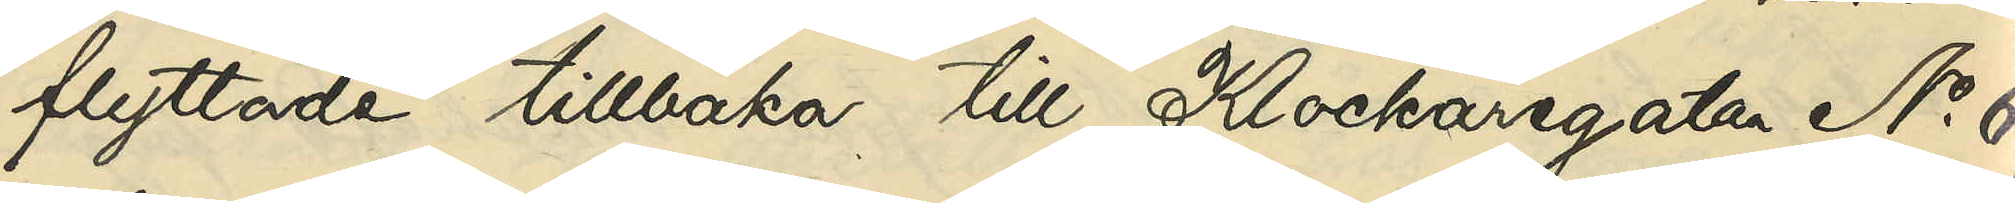flyttade tillbaka till Klockaregatan No 6;
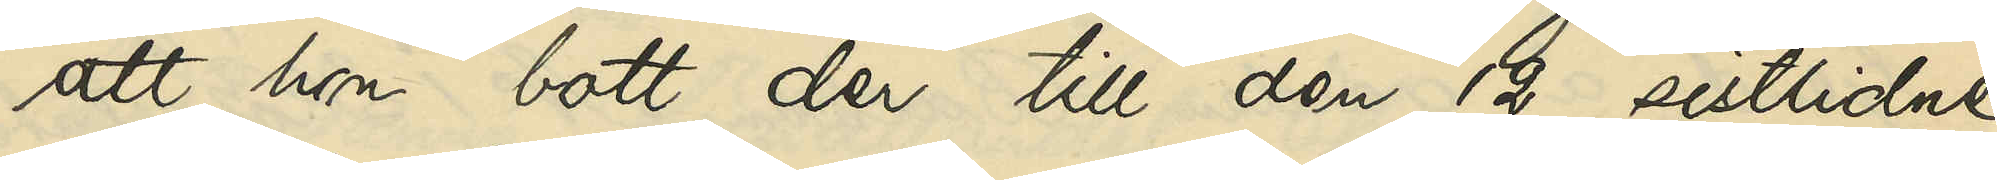att hon bott der till den 12 sistlidne
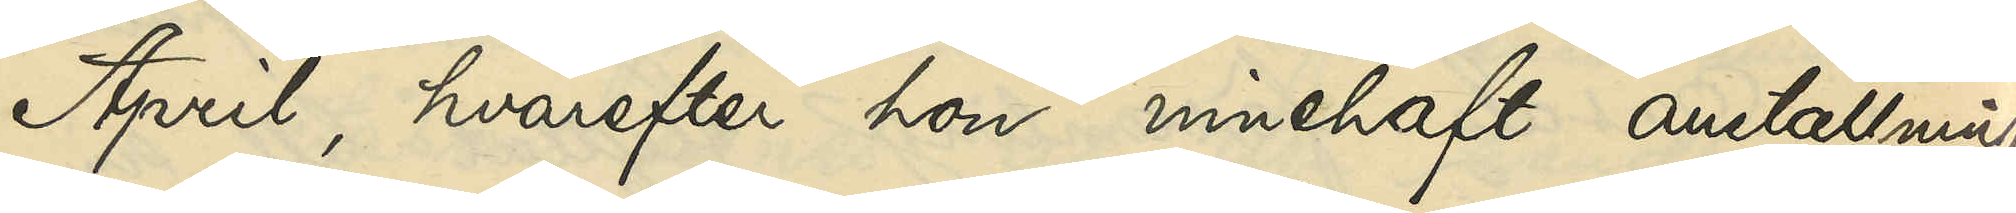April, hvarefter hon innehaft anställning
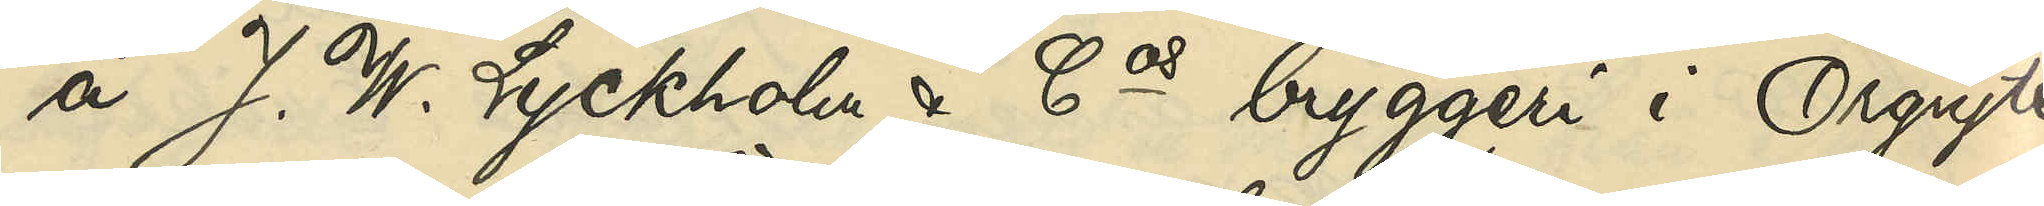å J. W. Lyckholms & Cos bryggeri i Örgryte
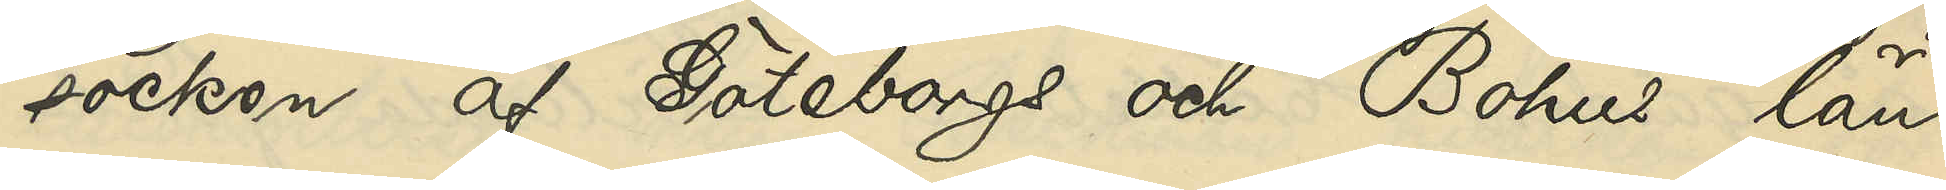socken af Göteborgs och Bohus län;
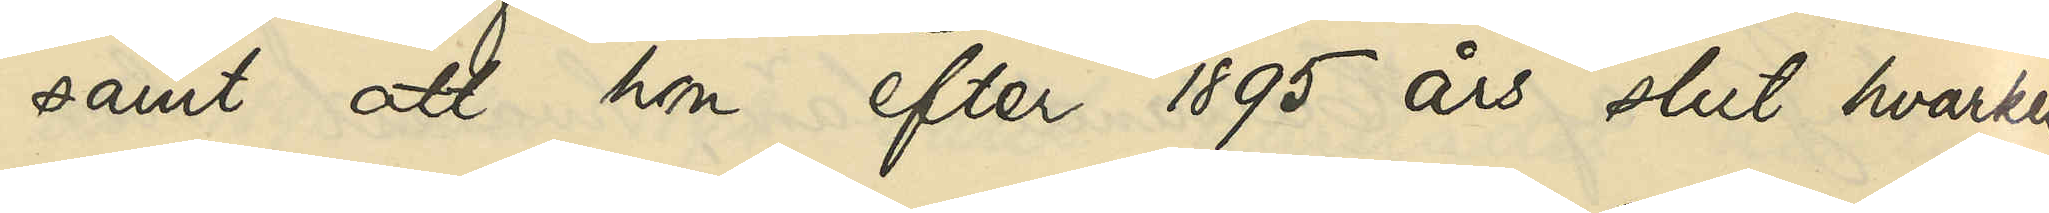samt att hon efter 1895 års slut hvarken
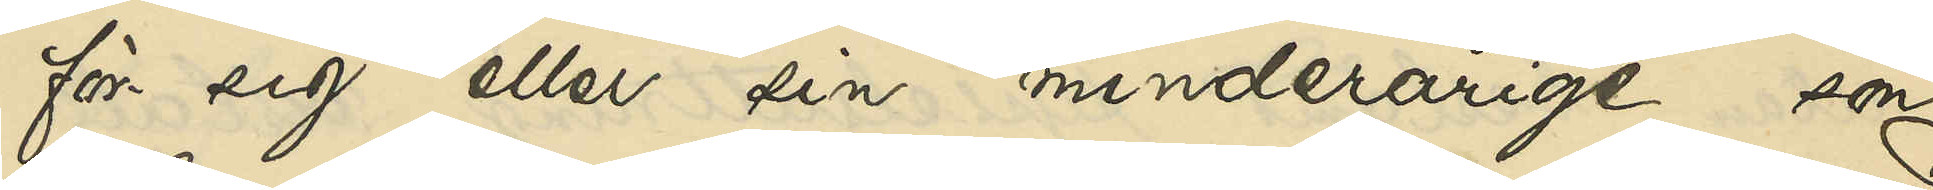för sig eller sin minderårige son
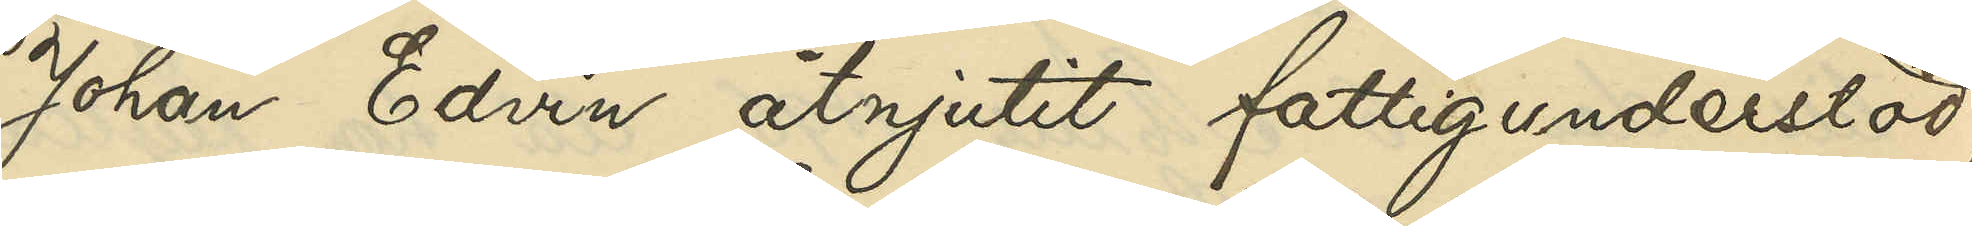Johan Edvin åtnjutit fattigunderstöd,
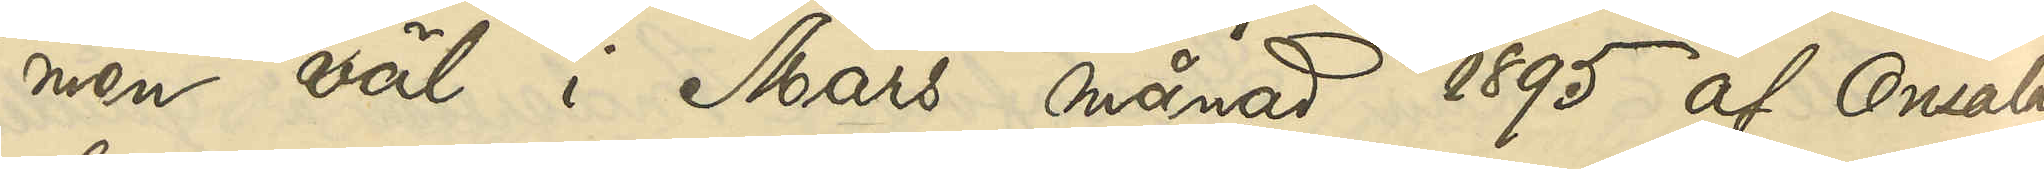men väl i Mars månad 1895 af Onsala
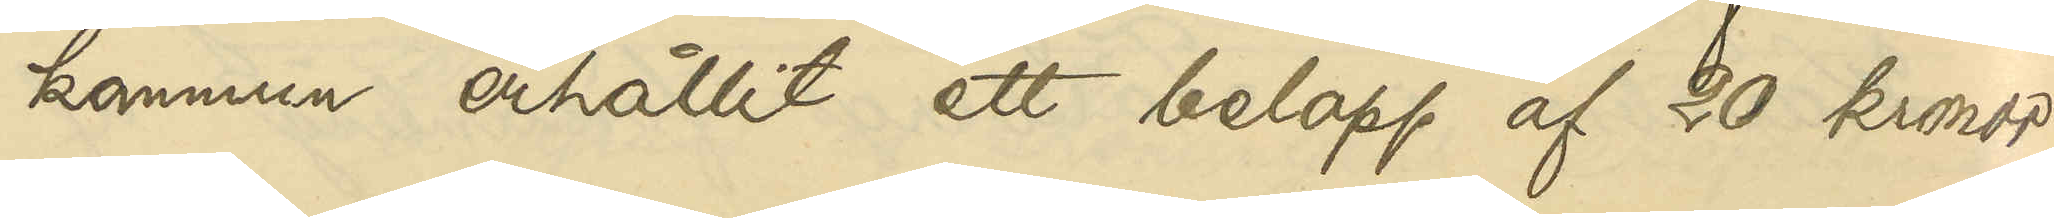kommun erhållit ett belopp af 20 kronor
